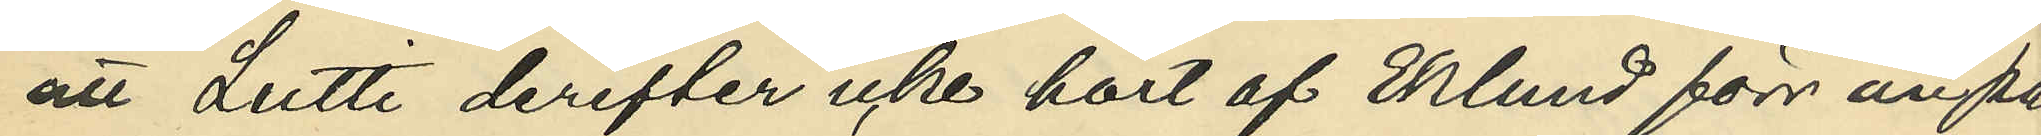att Lutti derefter icke hört af Eklund förr än på
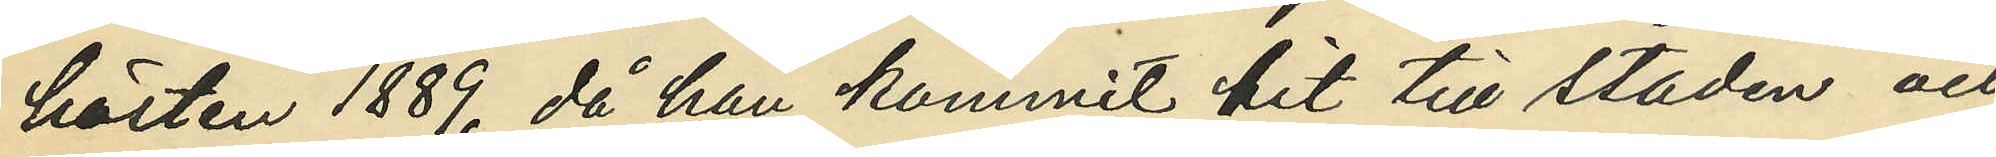hösten 1889, då han kommit hit till staden och
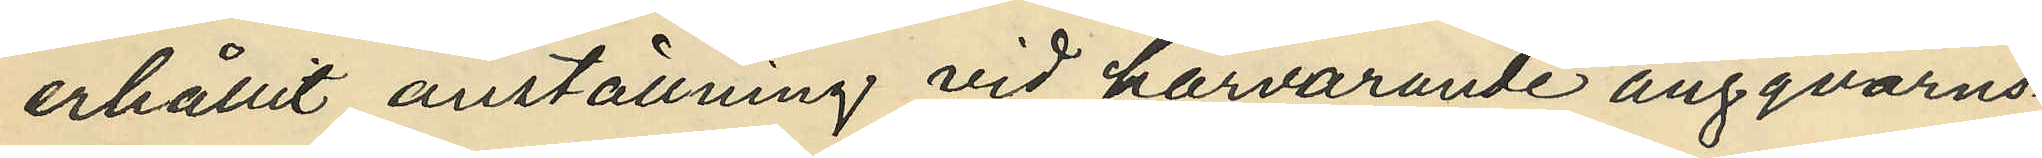erhållit anställning vid härvarande ångqvarns¬
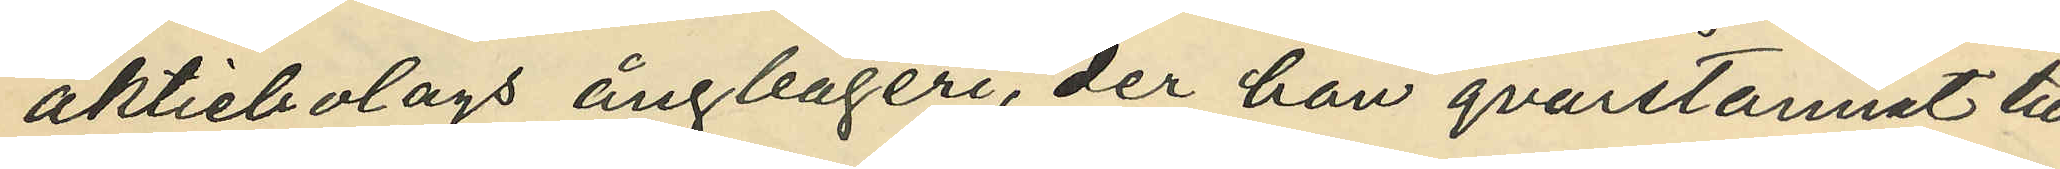aktiebolagets ångbageri, der han qvarstannat till
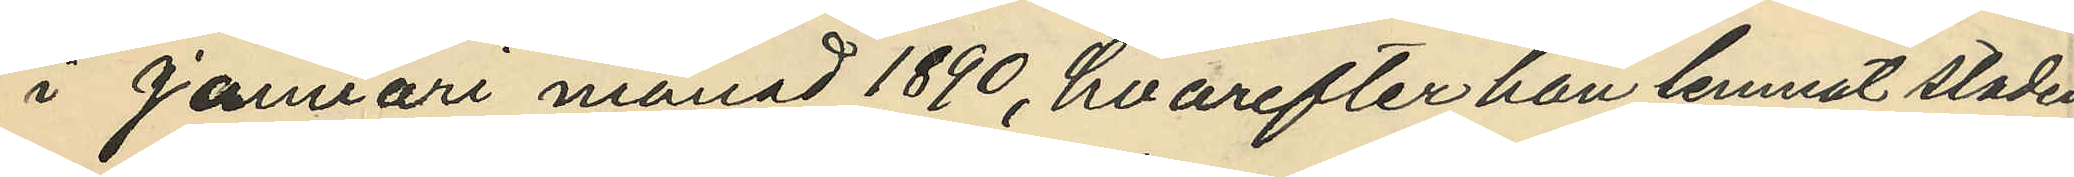i januari 1890, hvarefter han lemnat staden;
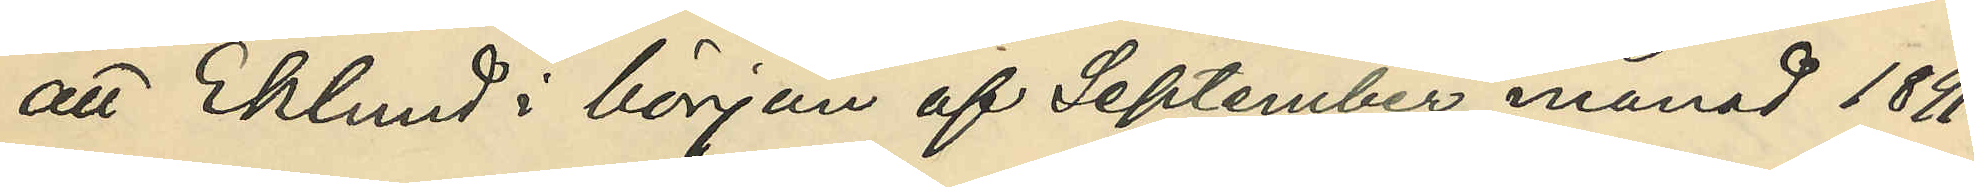att Eklund i början af September månad 1891
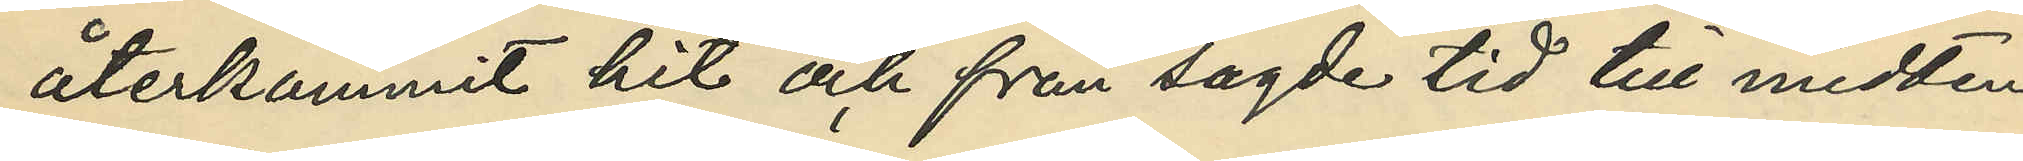återkommit hit och från sagde tid till midten
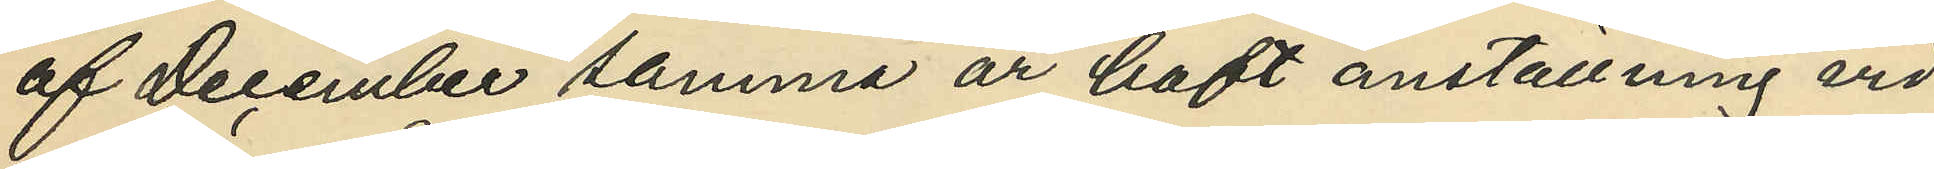af December samma år haft anställning vid
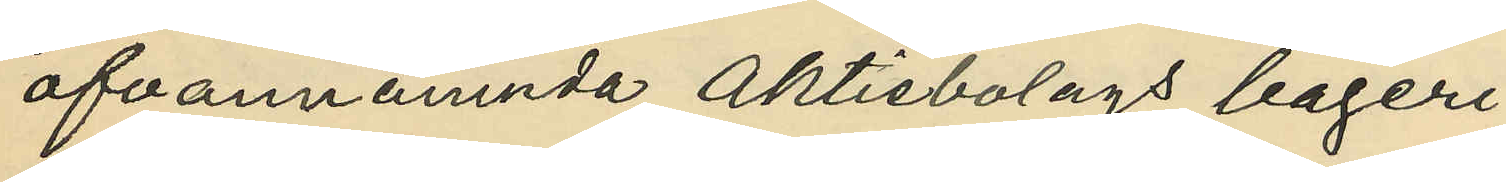ofvannämnda Aktiebolags bageri;
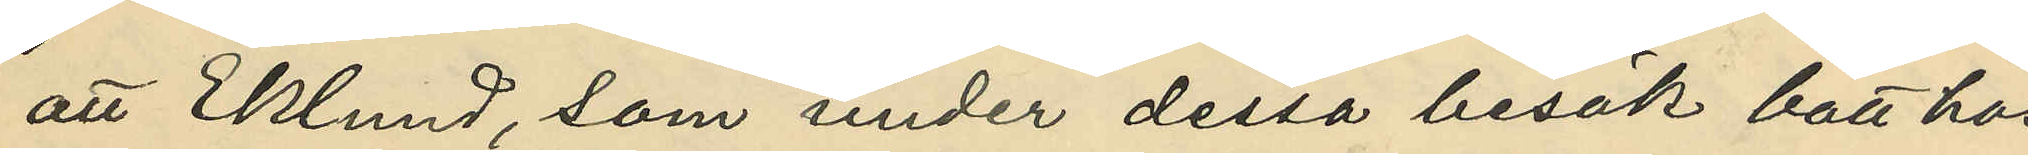att Eklund, som under dessa besök bott hos
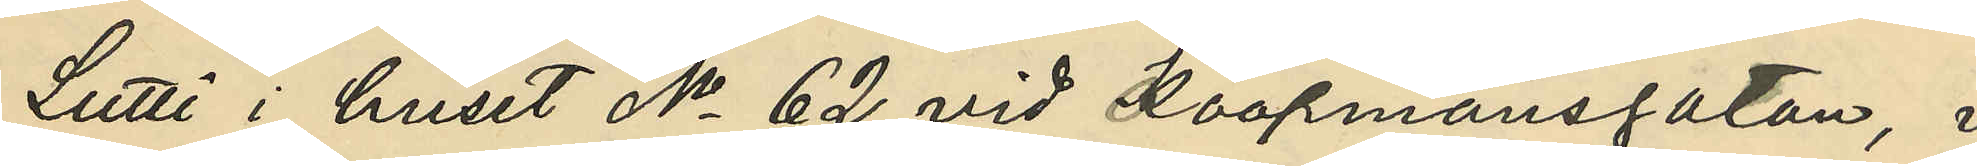Lutti i huset No 62 vid Koopmansgatan, i
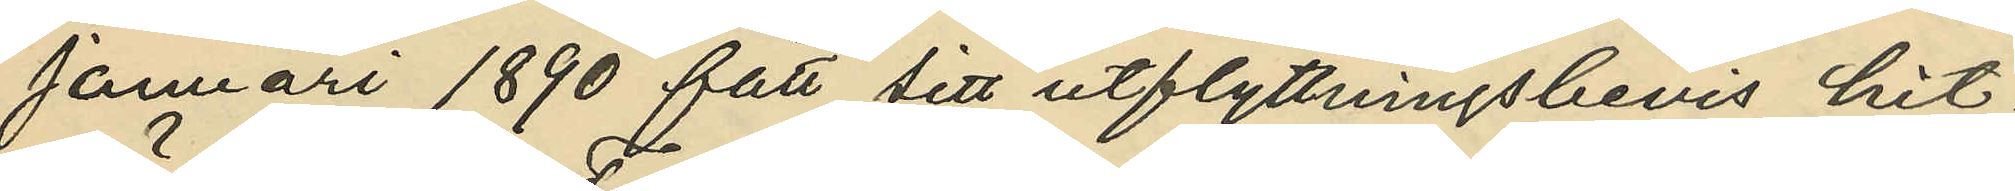Januari 1890 fått sitt utflyttningsbevis hit¬
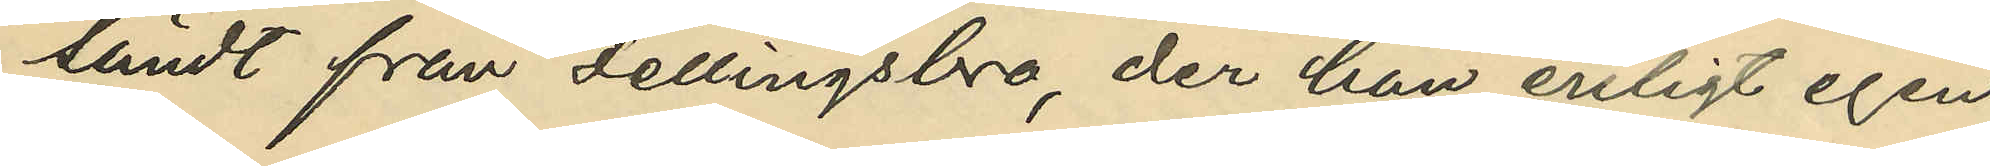sändt från Fellingsbro, der han enligt egen
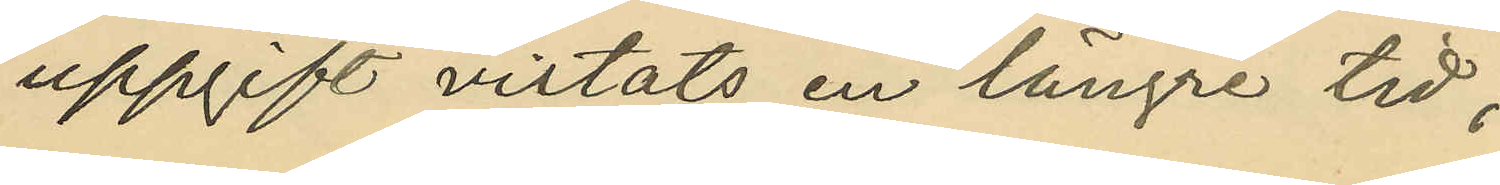uppgift vistats en längre tid;
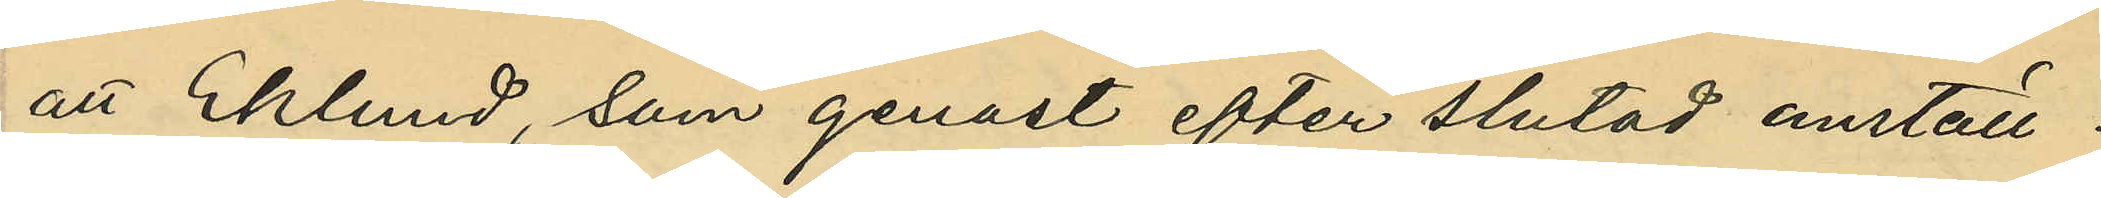att Eklund, som genast efter slutad anställ¬
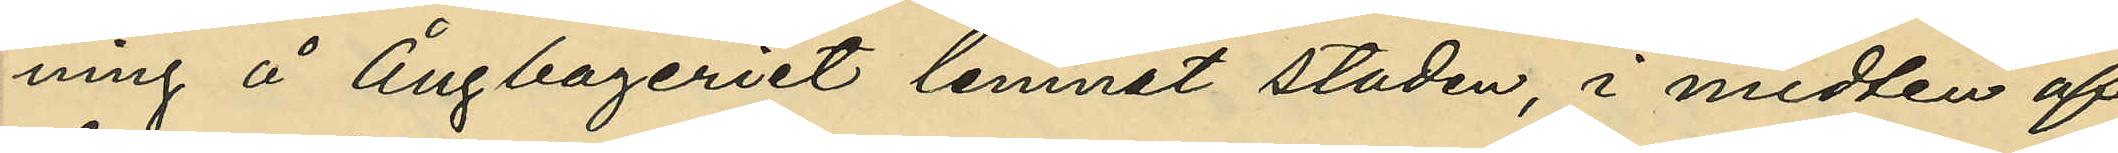ning å Ångbageriet lemnat staden, i midten af
